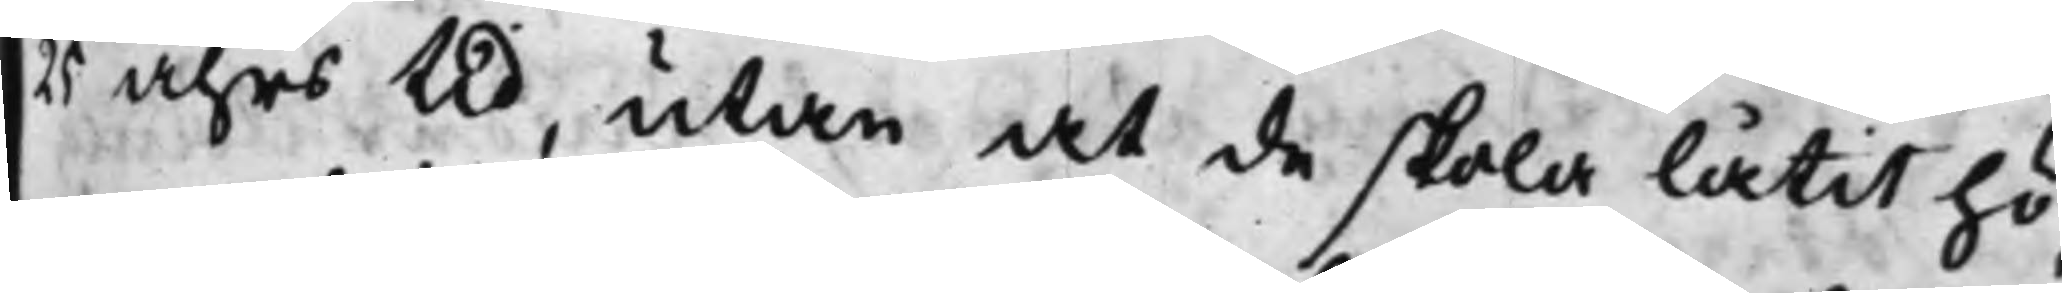25 åhrs tid, utan at de skola låtit hö¬
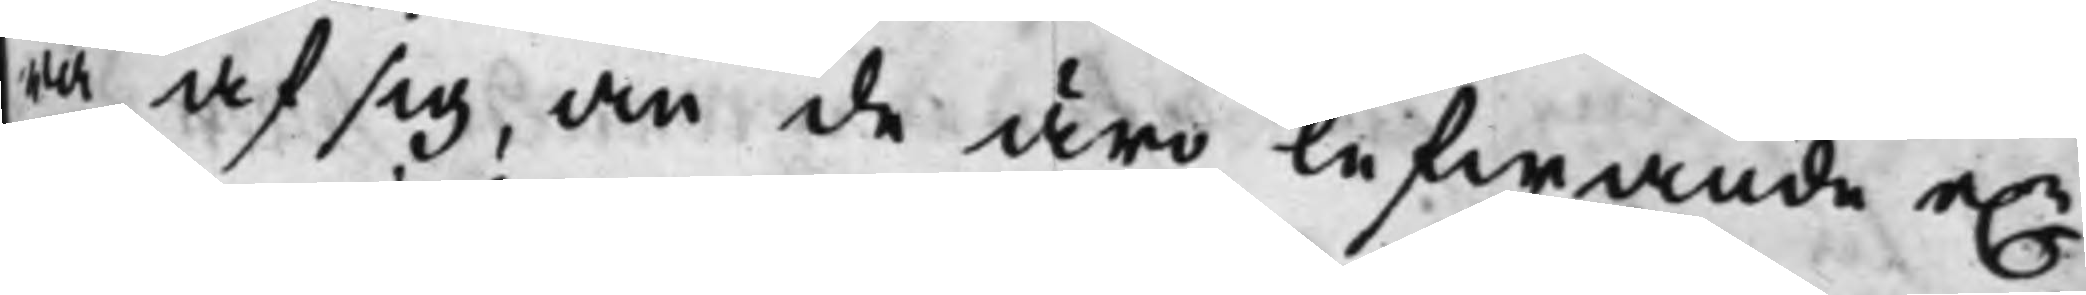ra af sig, om de äro lefwande e.r
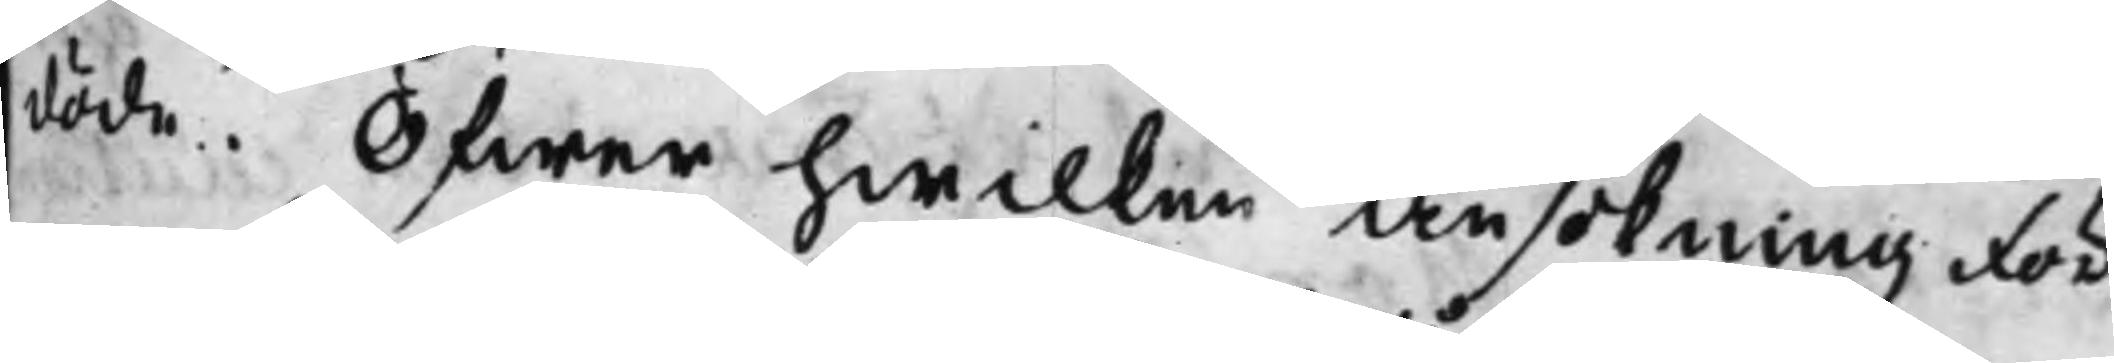döde. Öfwer hwilken ansökning för¬
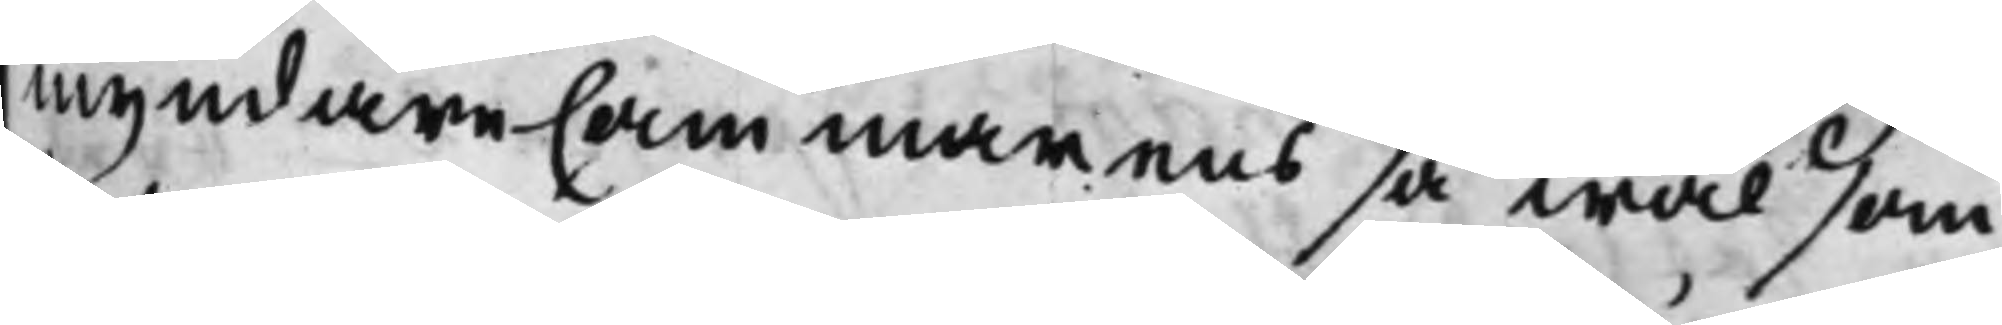myndareCammarens så wäl som
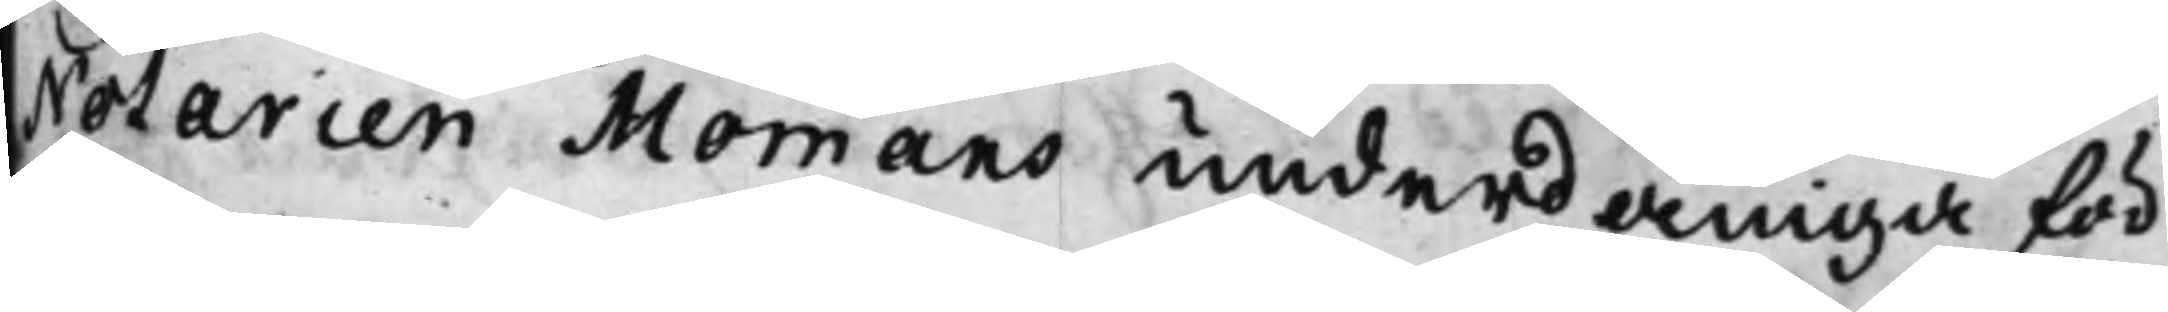Notarien Momans underdånga för¬
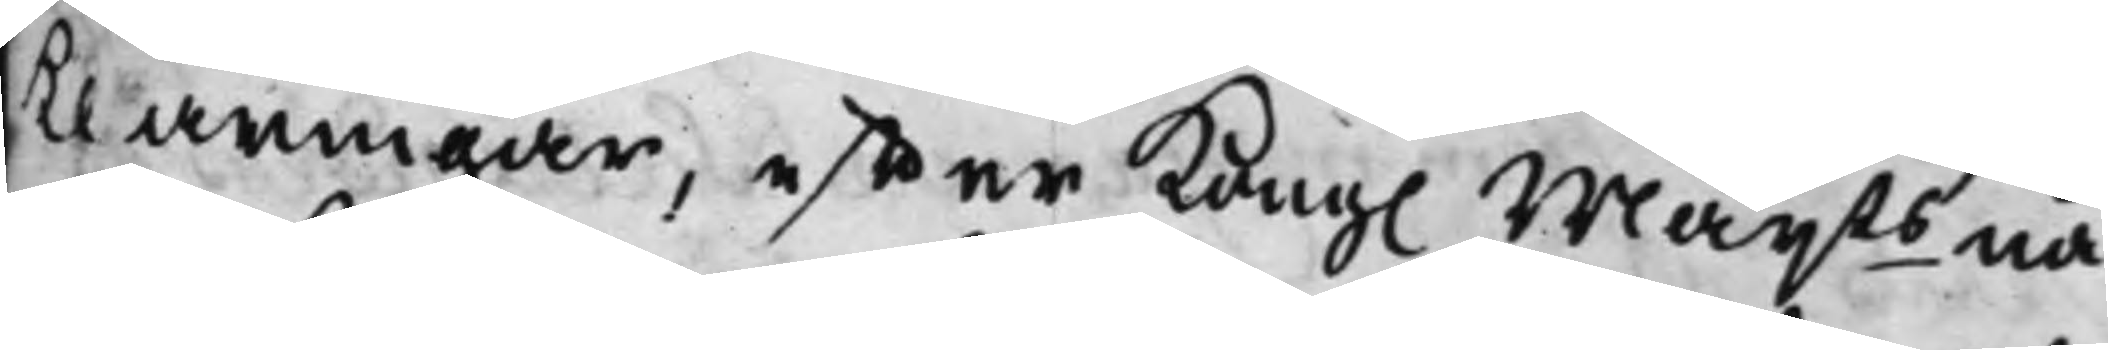klaringar, effter Kong. Maijts nå¬
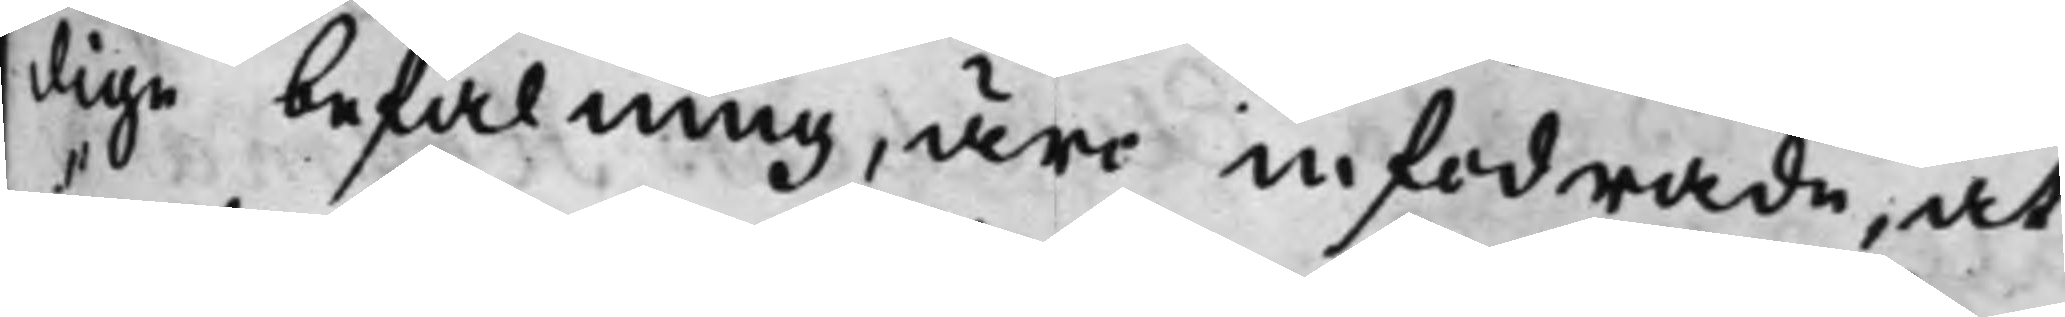dige befalning, äro infodrade, at
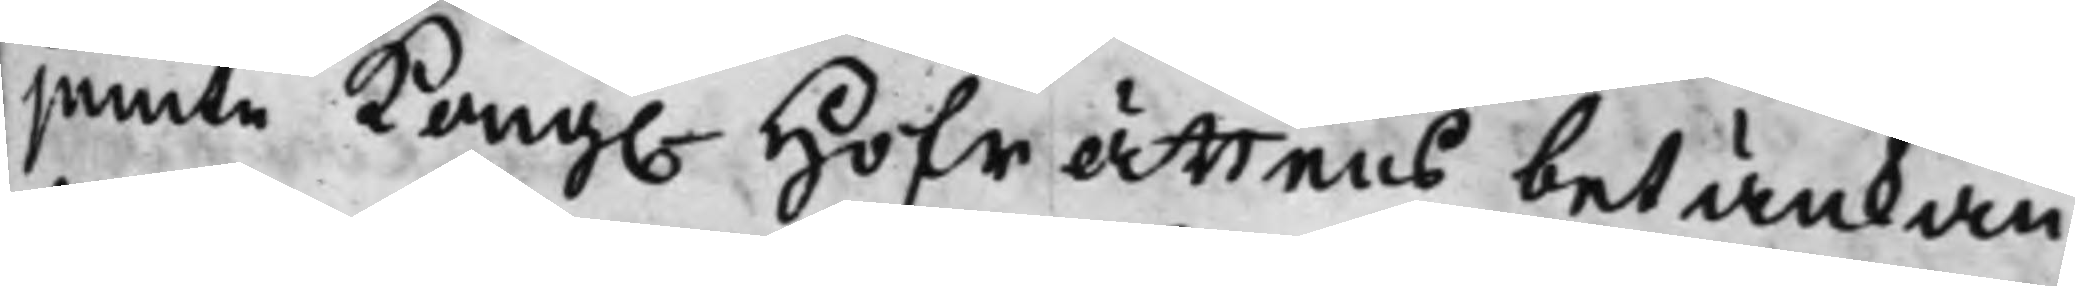jämte Kong. Hofrättens betänkan¬
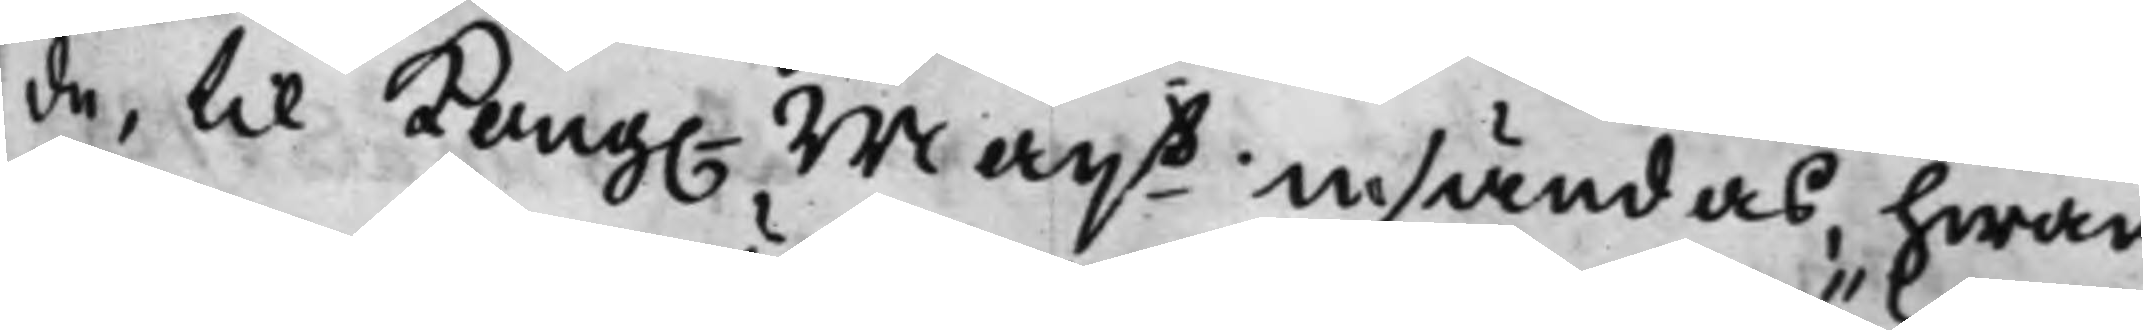de, til Kong. Maijt insändas, hwar
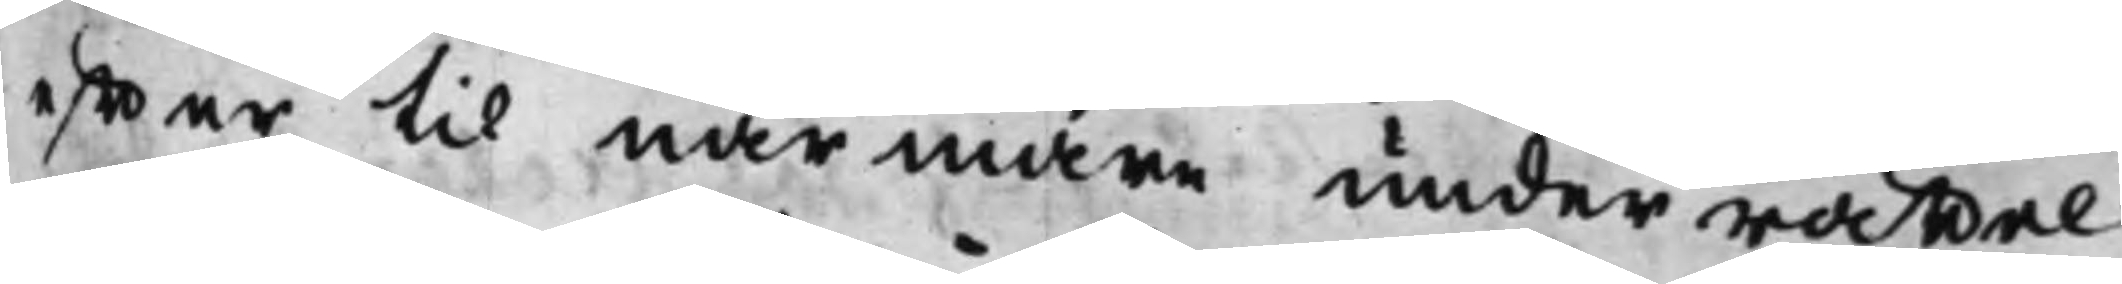effter til närmare underrättel¬
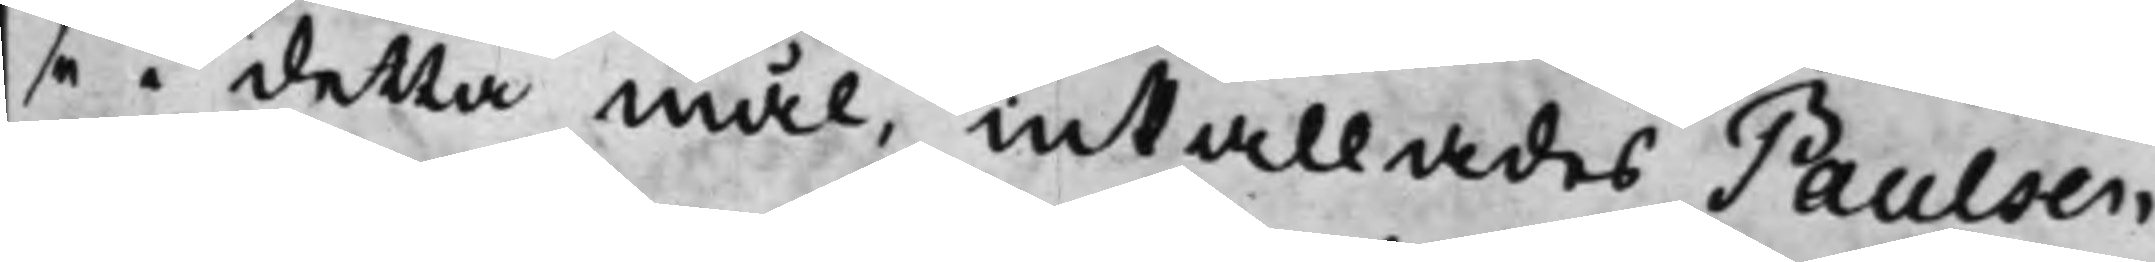se i detta mål, inkallades Paulsen
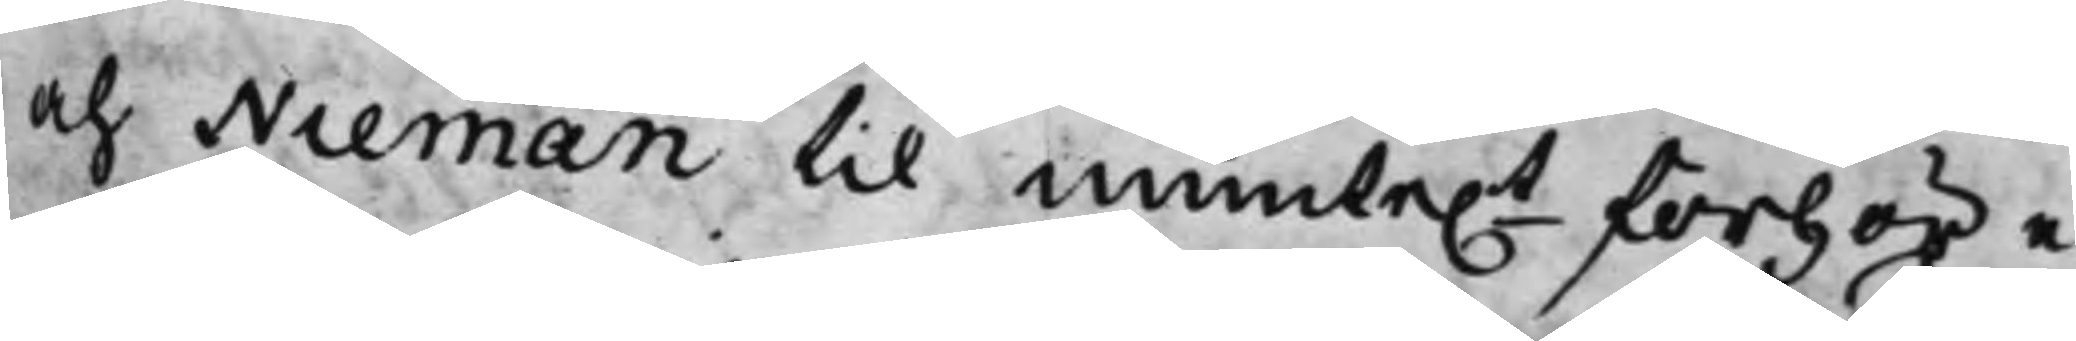och Nieman til munte.t förhör e¬
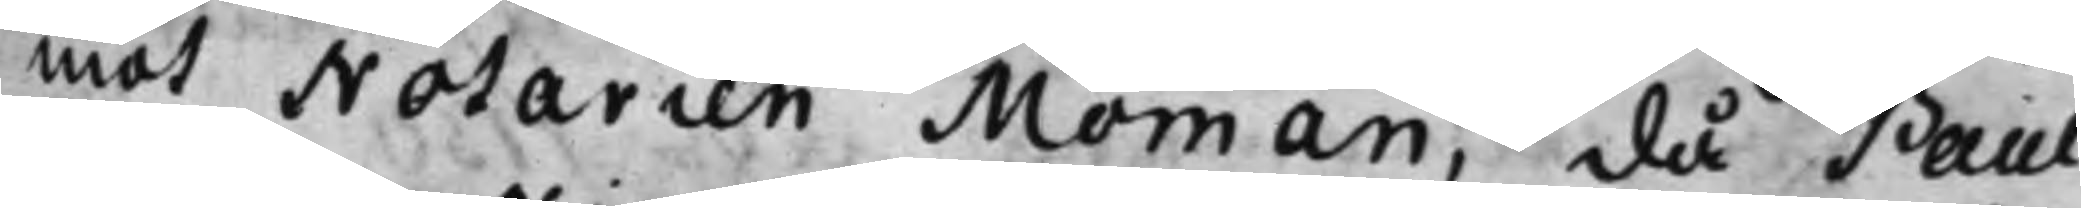mot Notarien Moman, då Paul¬
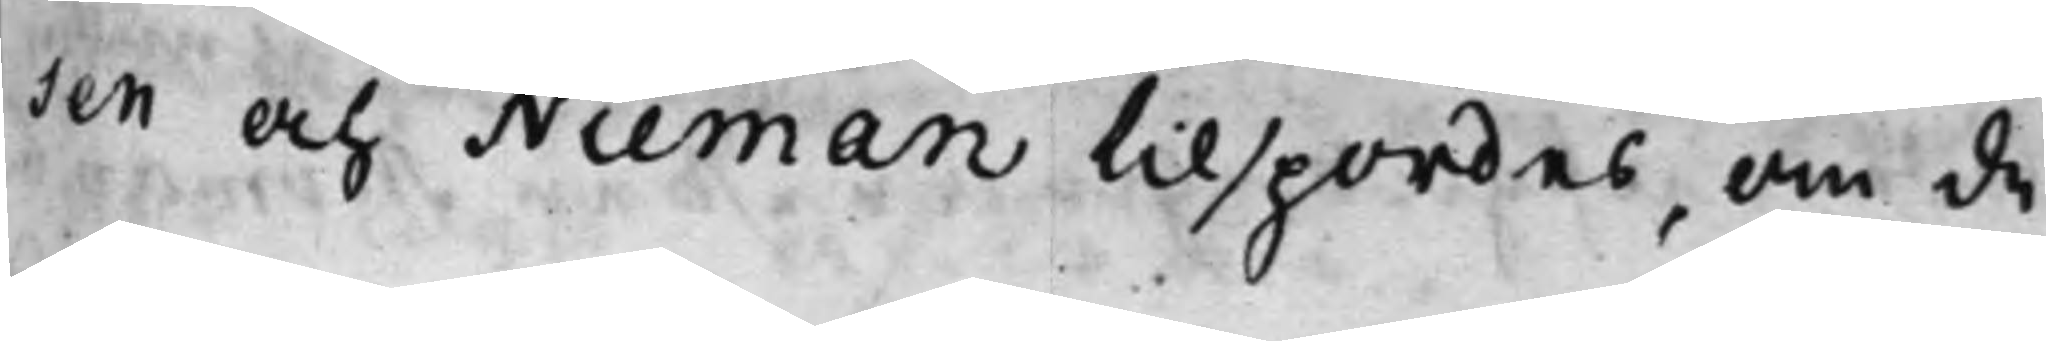sen och Nieman tilspordes, om de,
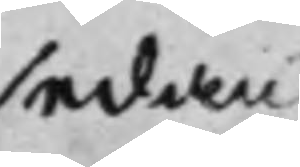sedan
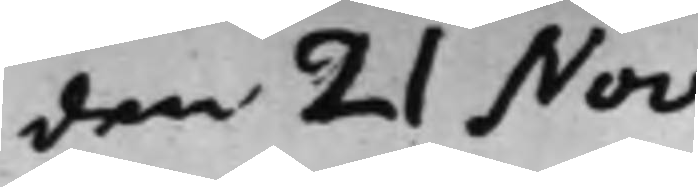den 21 Nov.
